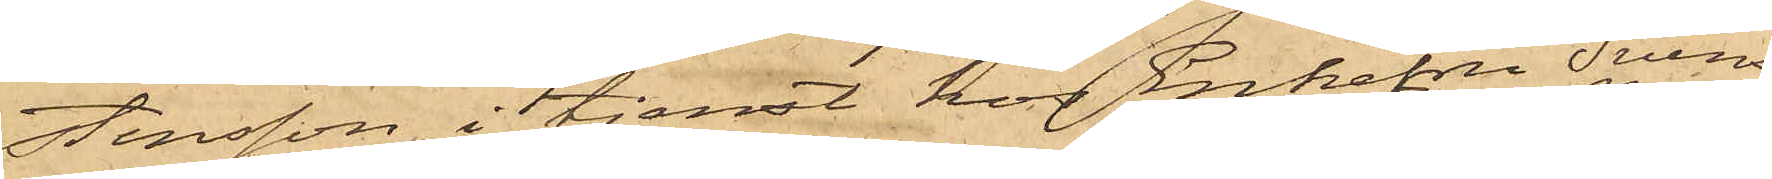stensson, i tjenst hos Enkefru Svens¬
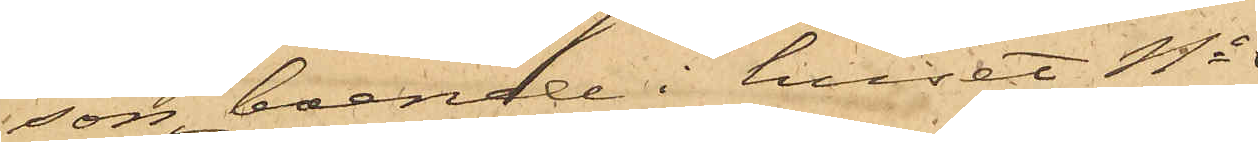son, boende i huset No
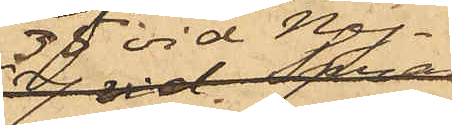35 vid Ny¬
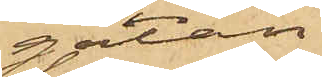gatan,
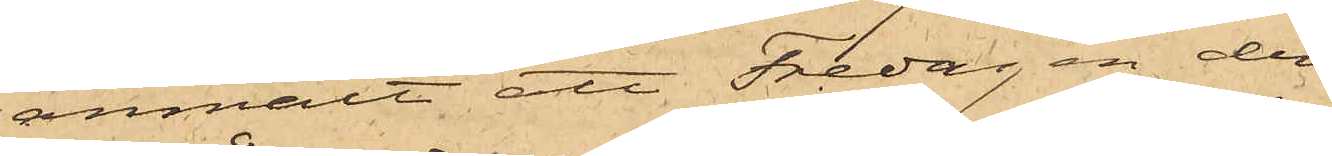anmält att Fredagen den
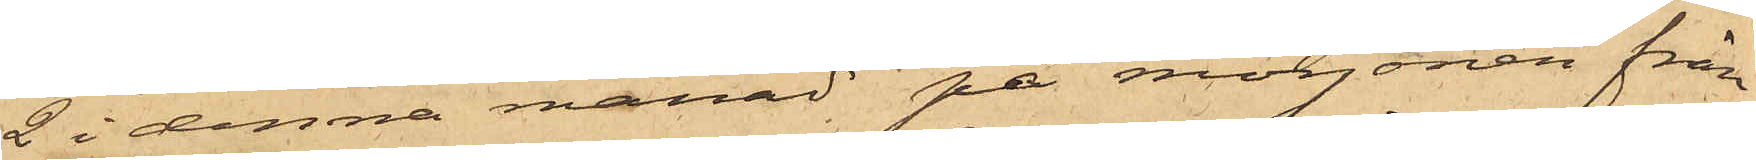2 i denna månad på morgonen från
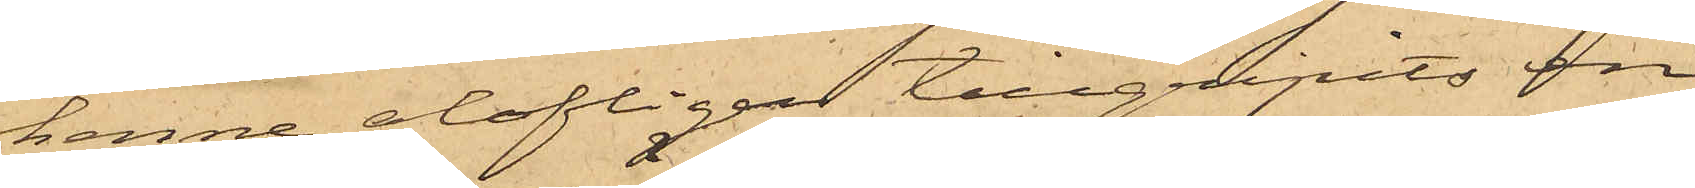henne olofligen tillgripits en
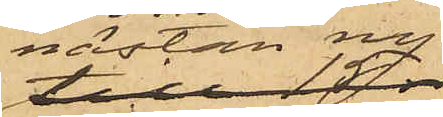nästan ny
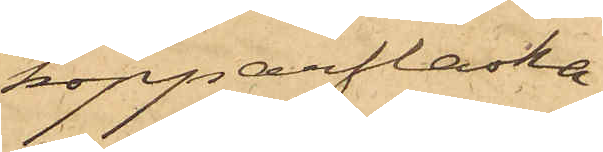kopparflaska,
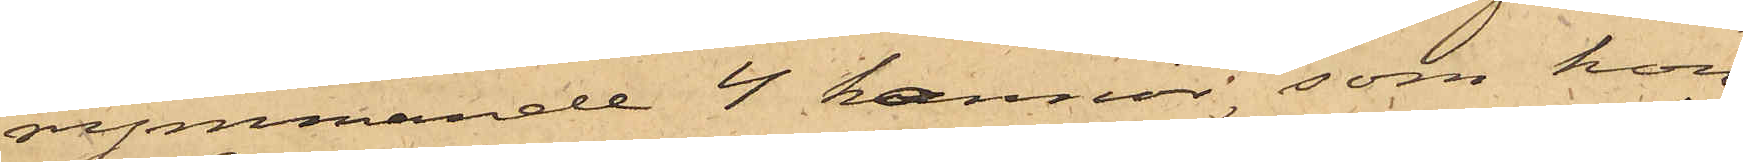rymmande 4 kannor, som hon
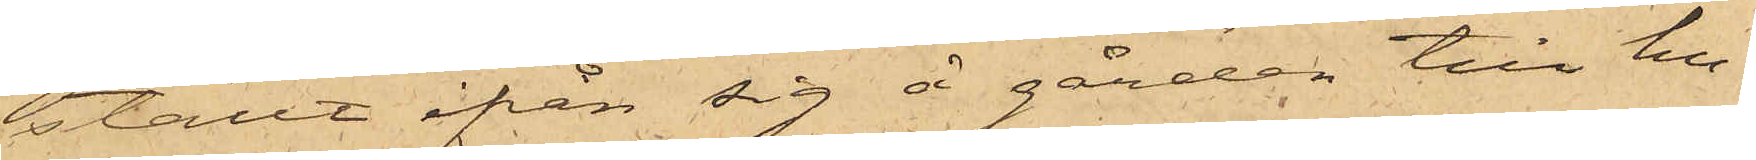ställt ifrån sig å gården till hu¬
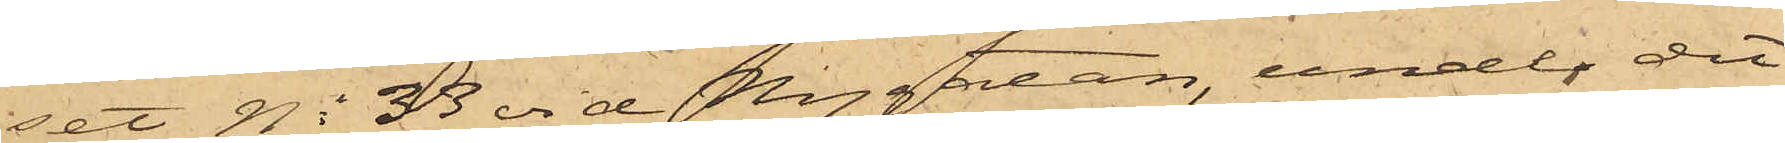set No 33 vid Nygatan, under det
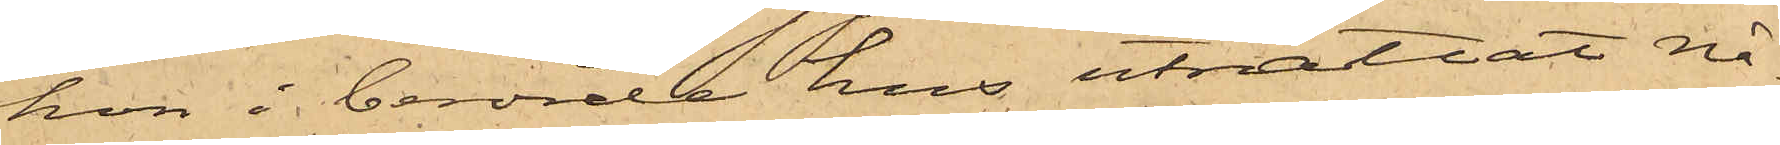hon i berörde hus uträttat nå¬
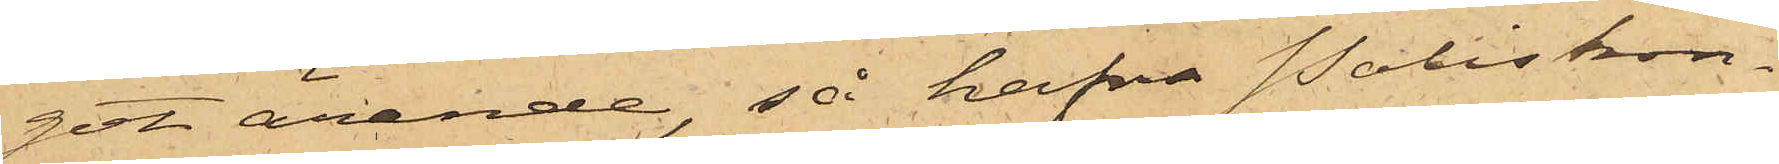git ärende, så hafva Poliskon¬
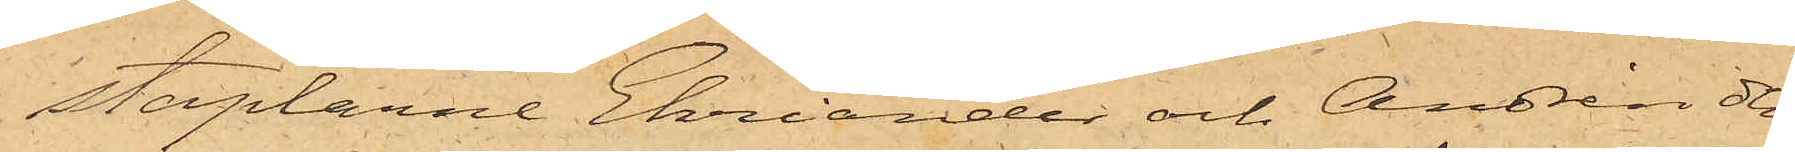staplarne Ehriander och Andrén den
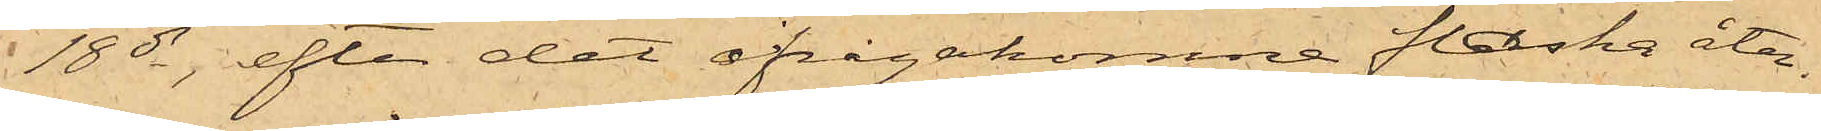18 ds, efter det ifrågakomne flaska åter¬
